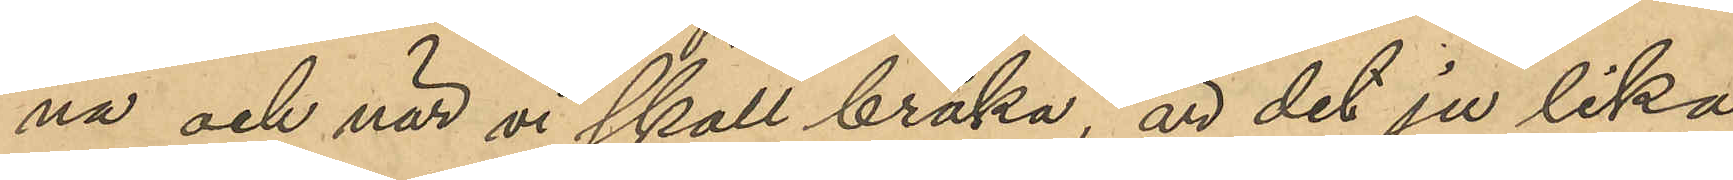na och när vi skall bråka, är det ju lika
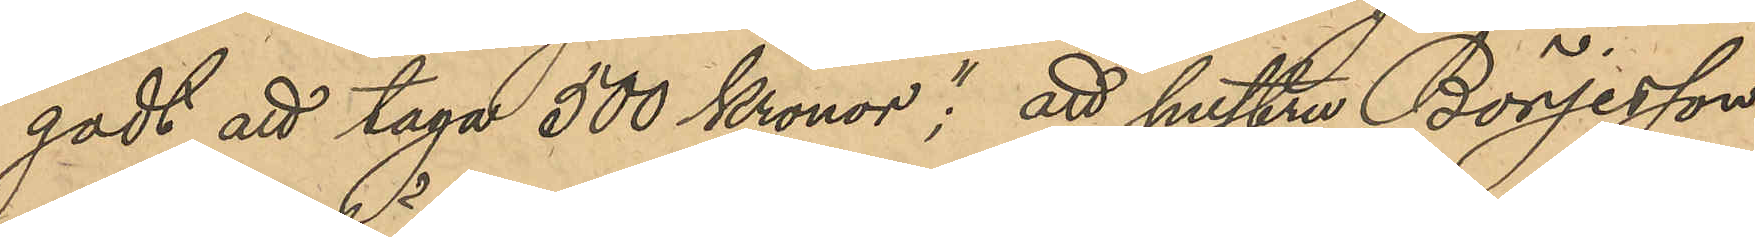godt att taga 500 Kronor"; att hustrun Börjesson
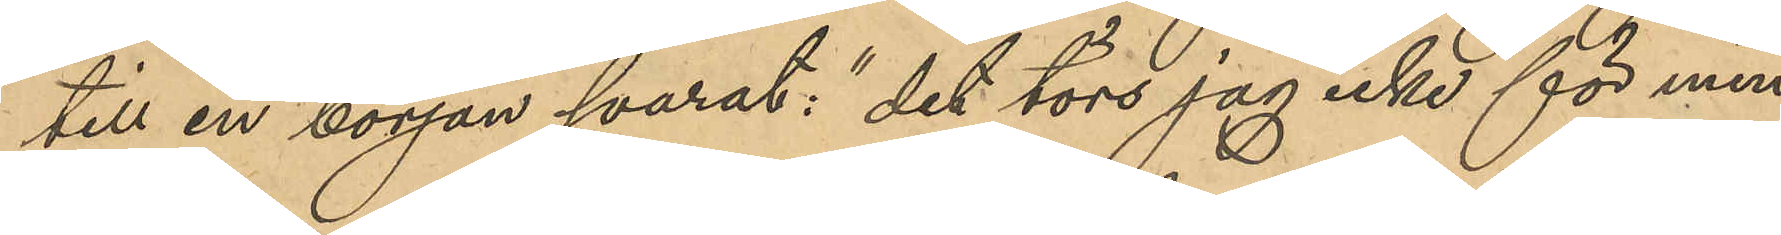till en början svarat: "det törs jag icke för min
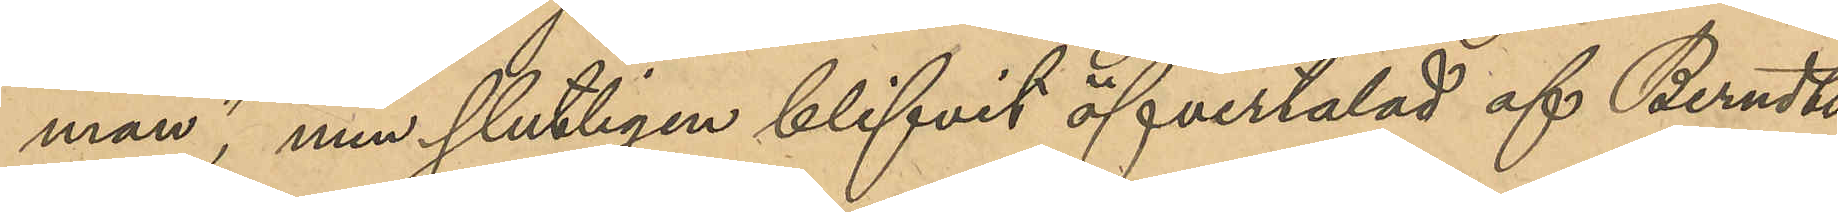man", men slutligen blifvit övertalad af Berndts¬
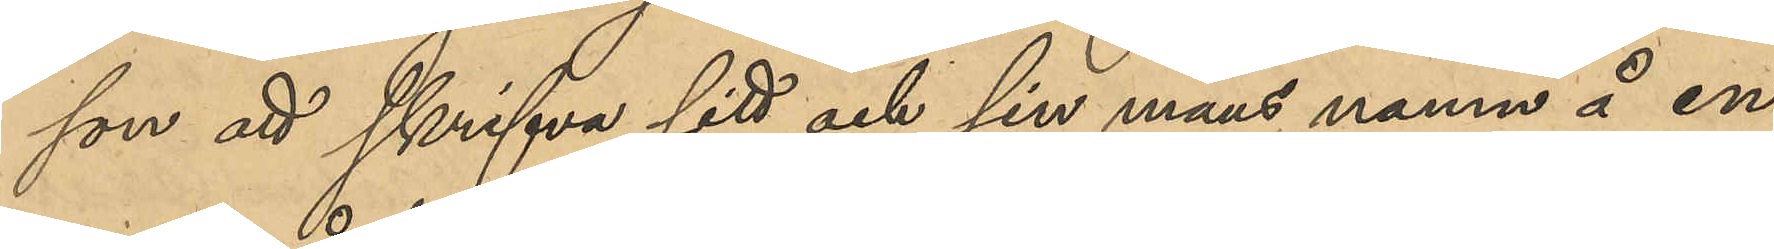son att skrifva sitt och sin mans namn å en
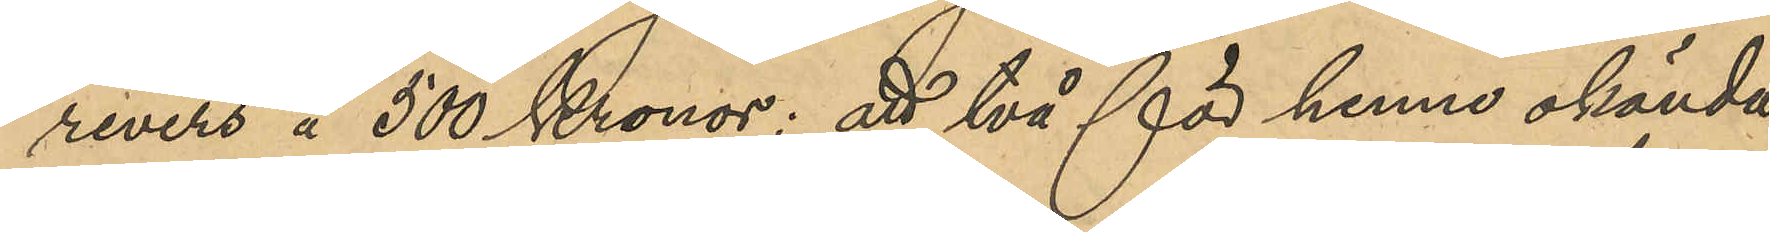revers å 500 Kronor; att två för henne okända
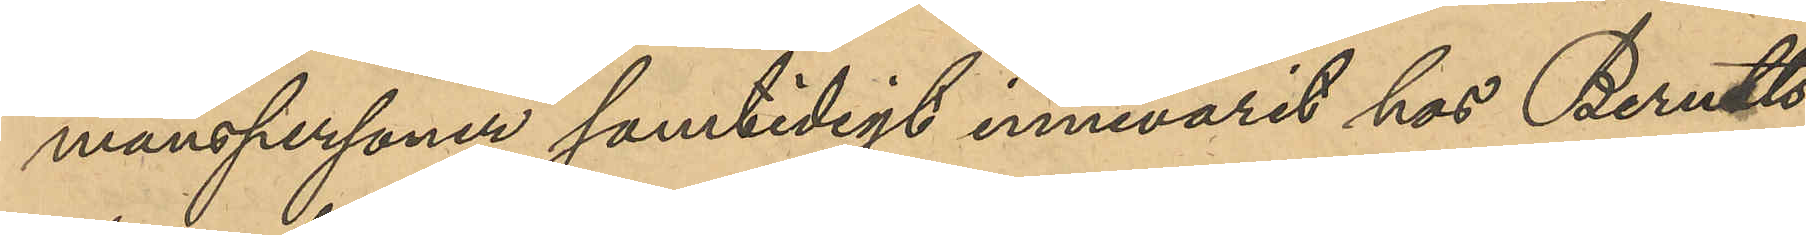manspersoner samtidigt innevarit hos Berndts¬
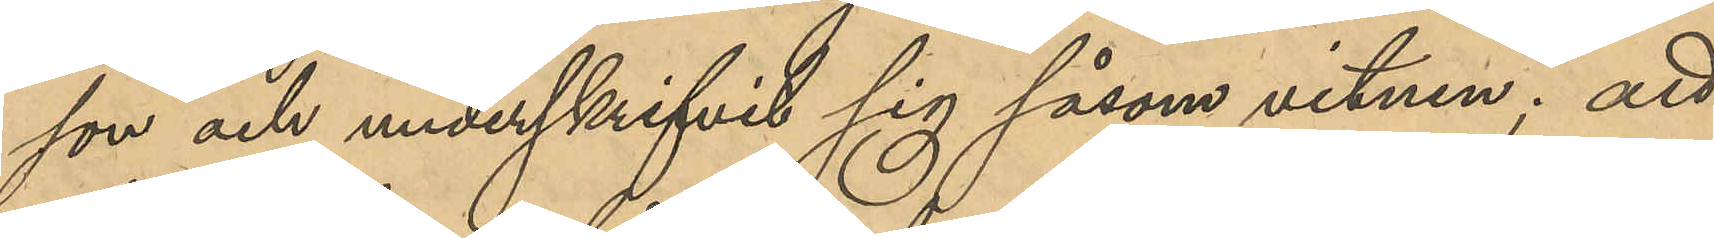son och underskrifvit sig såsom vitnen; att
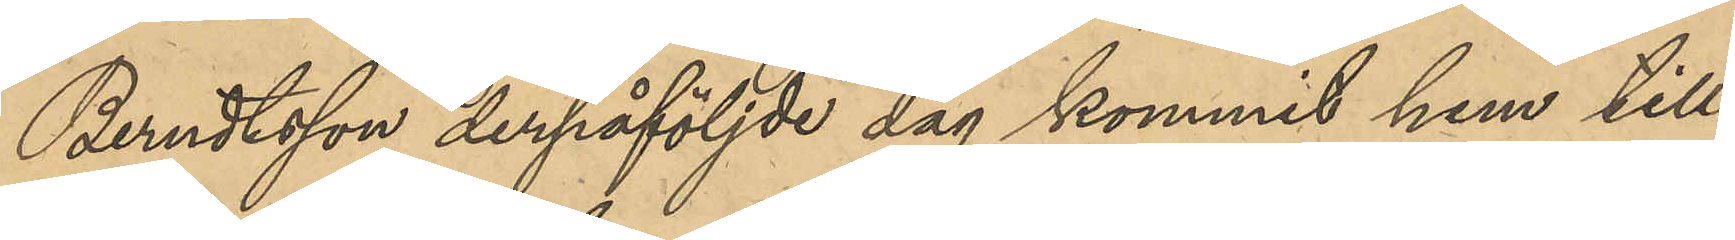Berndtsson derpåföljde dag kommit hem till
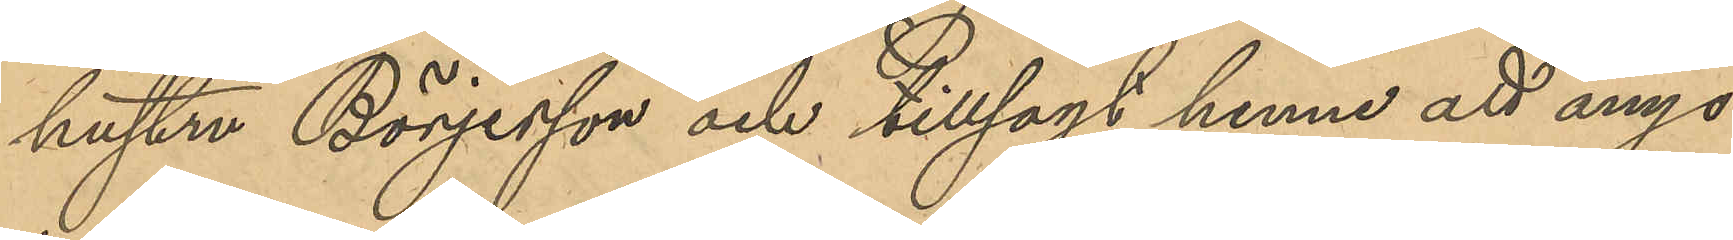hustru Börjesson och tillsagt henne att ånyo
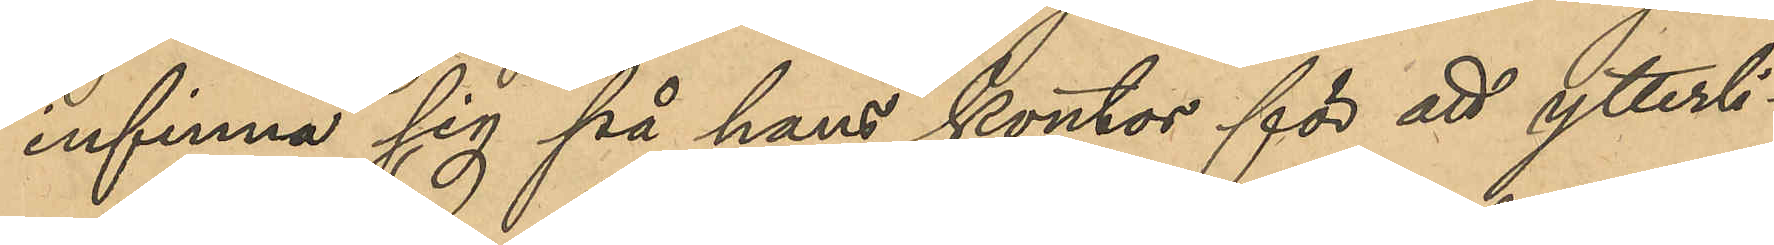infinna sig på hans kontor för att ytterli¬
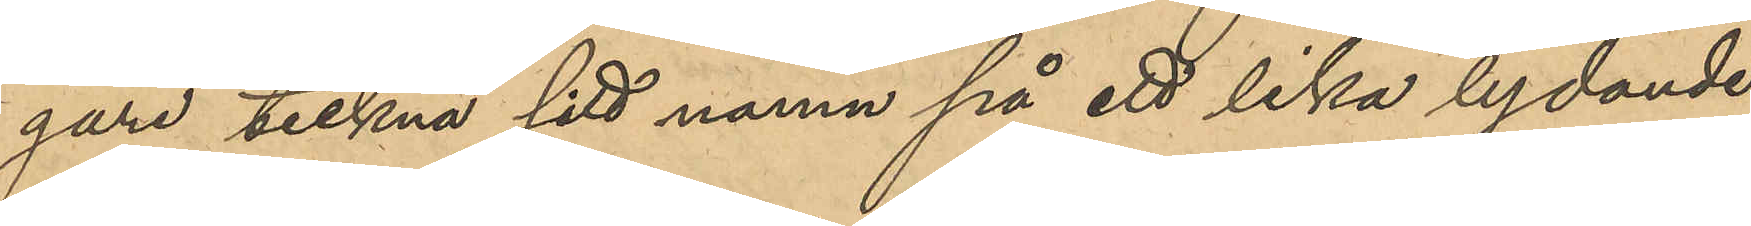gare teckna sitt namn på ett lika lydande
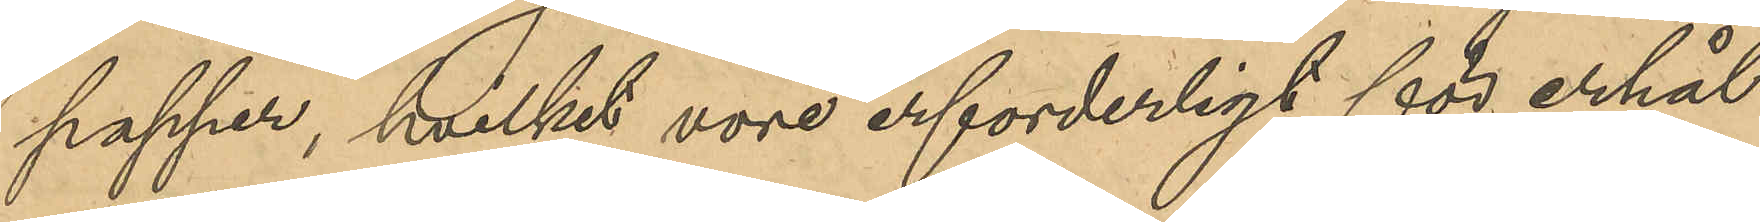papper, hvilket vore erforderligt för erhål¬
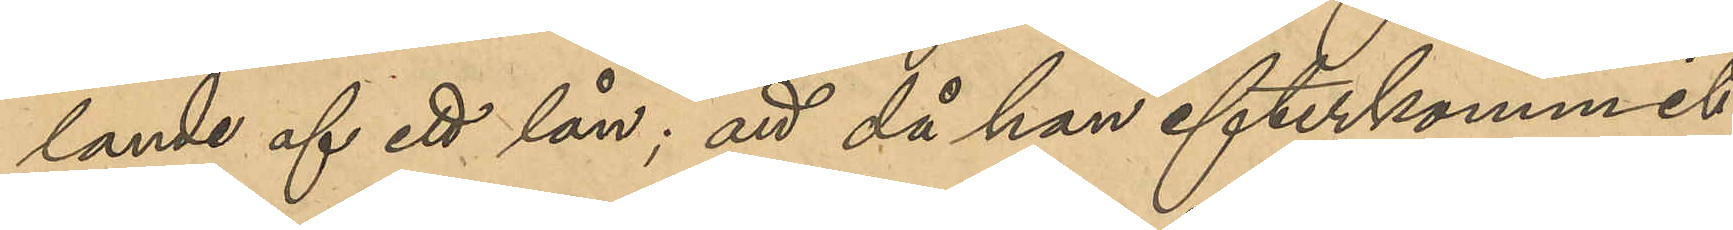lande af ett lån; att då hon efterkommit
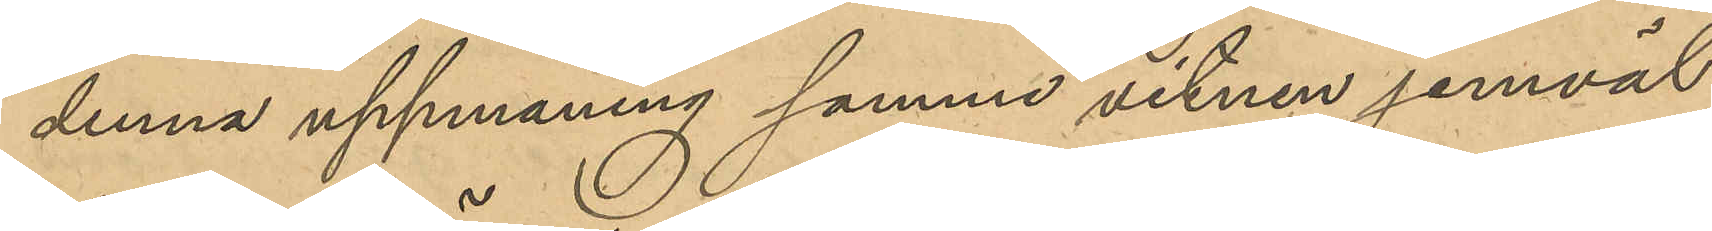denna uppmaning samme vitnen jemväl
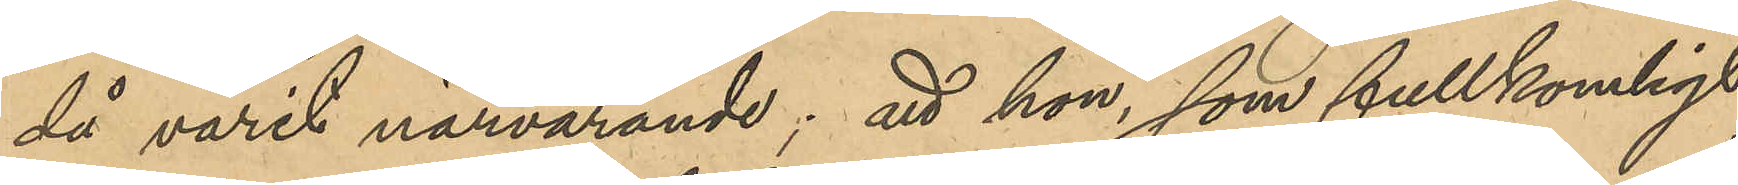då varit närvarande; att hon som fullkomligt
